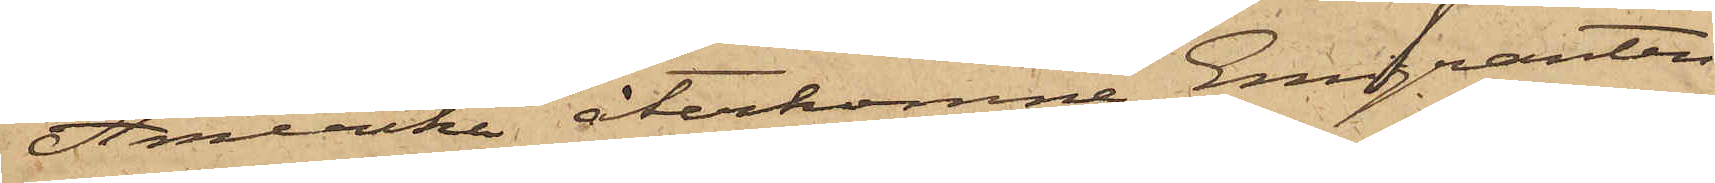Amerika återkomne Emigranten
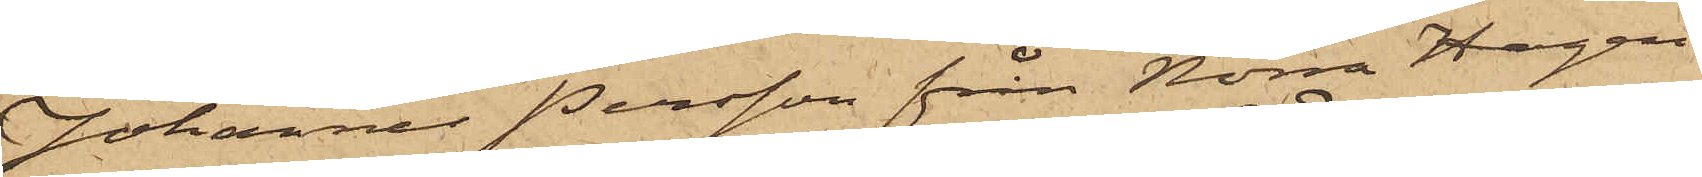Johannes Persson från Norra Hagen
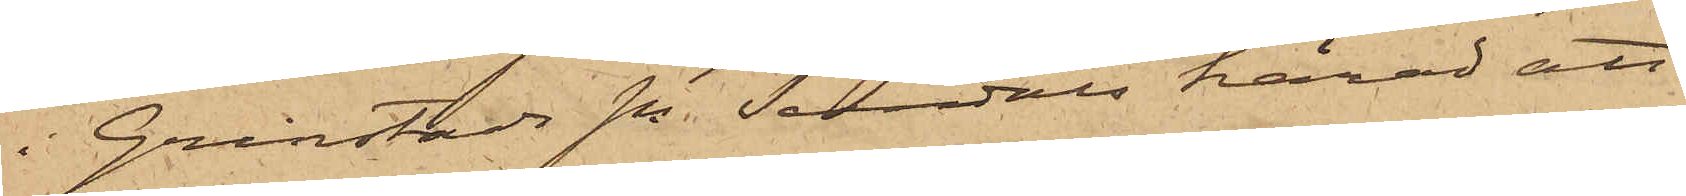i Grinstads sn Sundals härad att
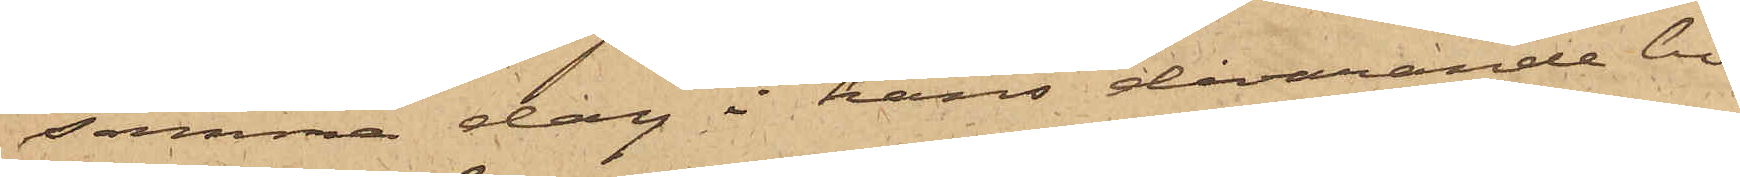samma dag i hans dåvarande bo¬
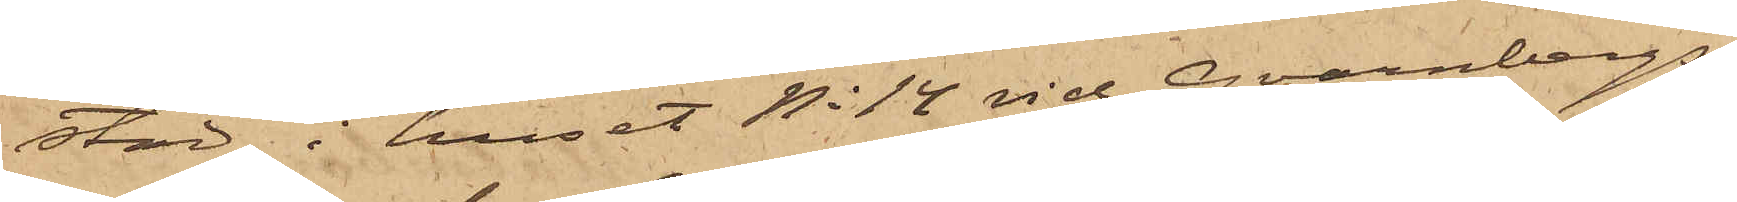stad i huset No 14 vid Qvarnbergs¬
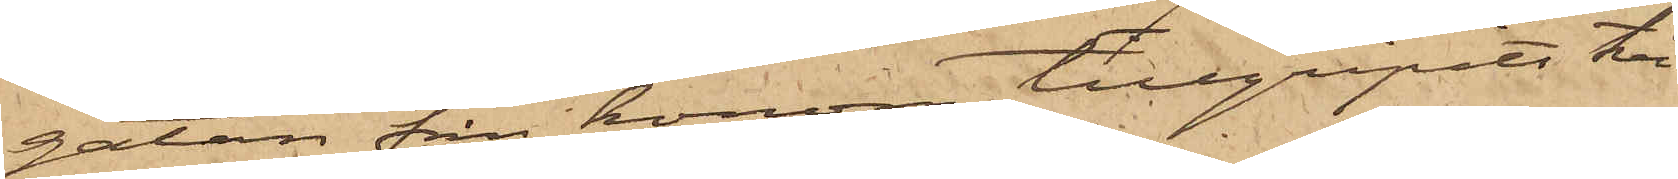gatan från honom tillgripits två
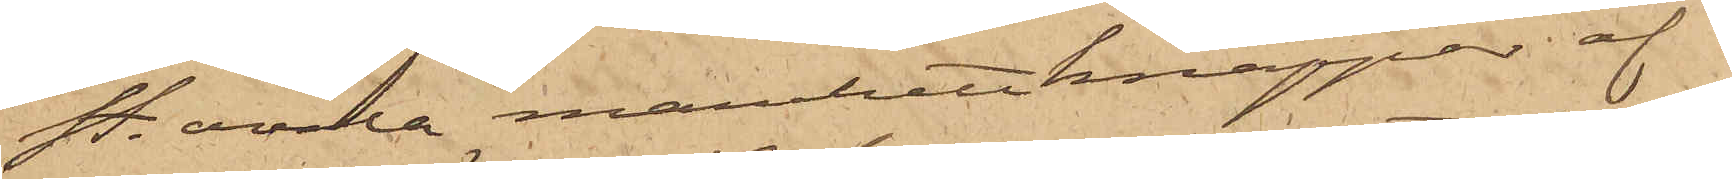st. ovala manchettknappar af
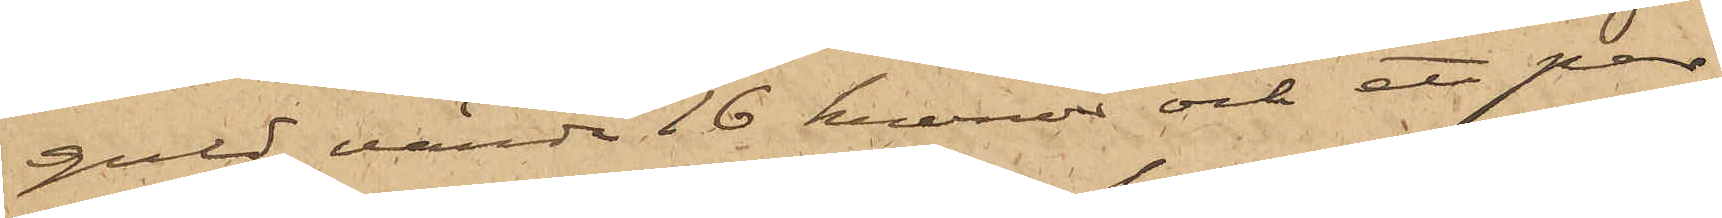guld värda 16 kronor och ett par
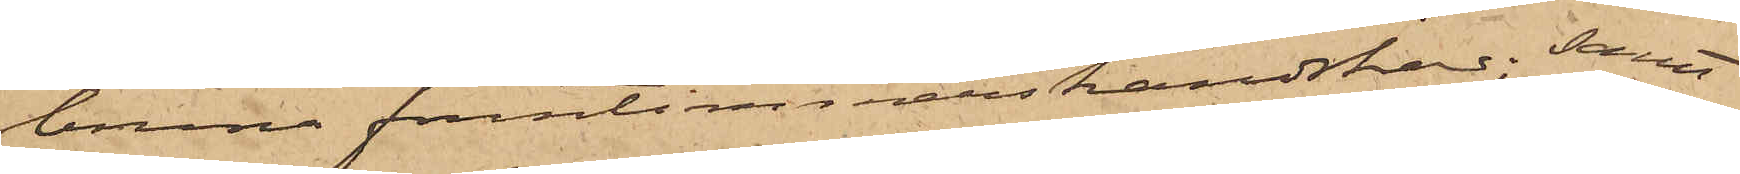bruna fruntimmershandskar; samt
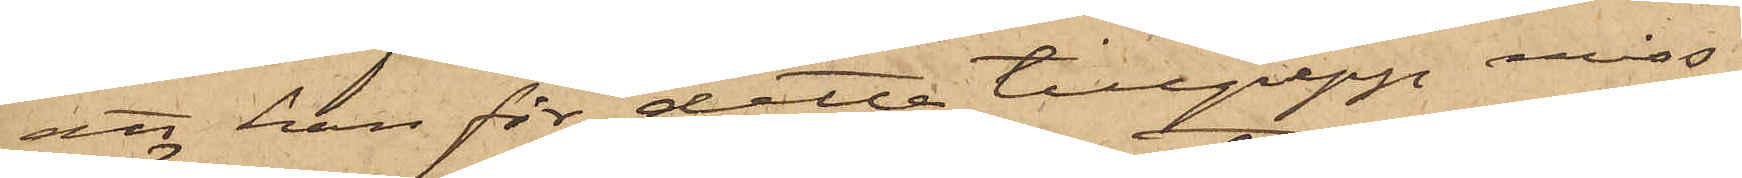att han för detta tillgrepp miss¬
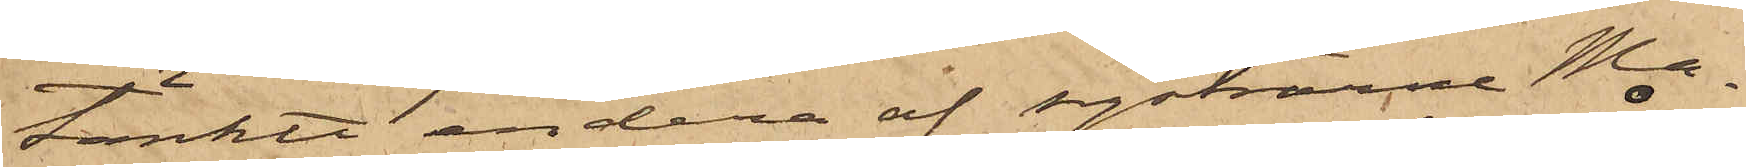tänkte endera af systrarne Ma¬
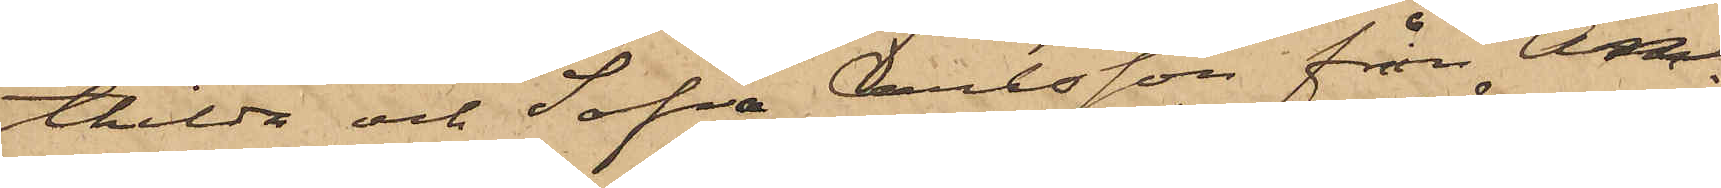thilda och Sofia Carlsson från Ån¬
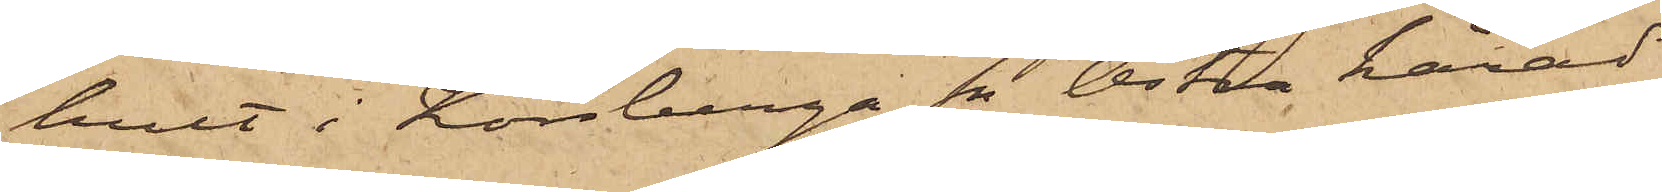hult i Korsberga sn Östra härad
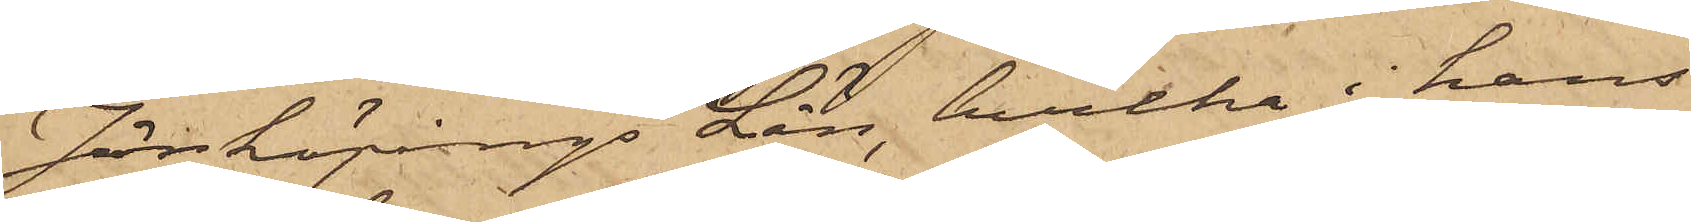Jönköpings Län, hvilka i hans
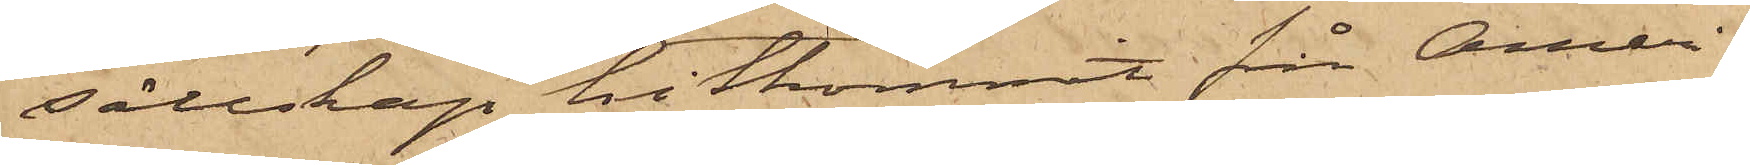sällskap hitkommit från Ameri¬
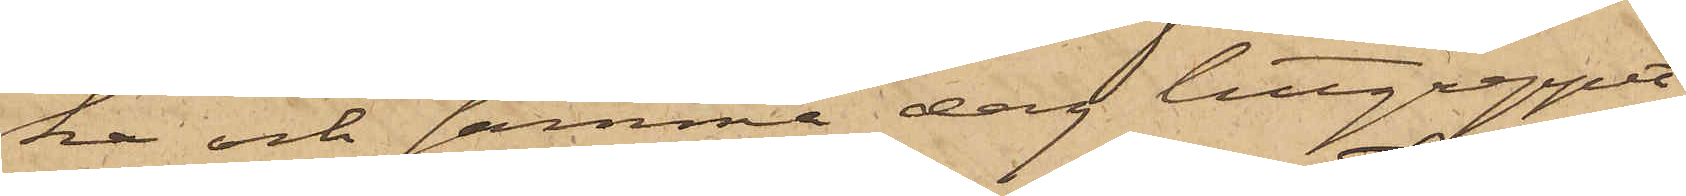ka och samma dag tillgreppet
